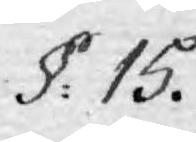§. 15.
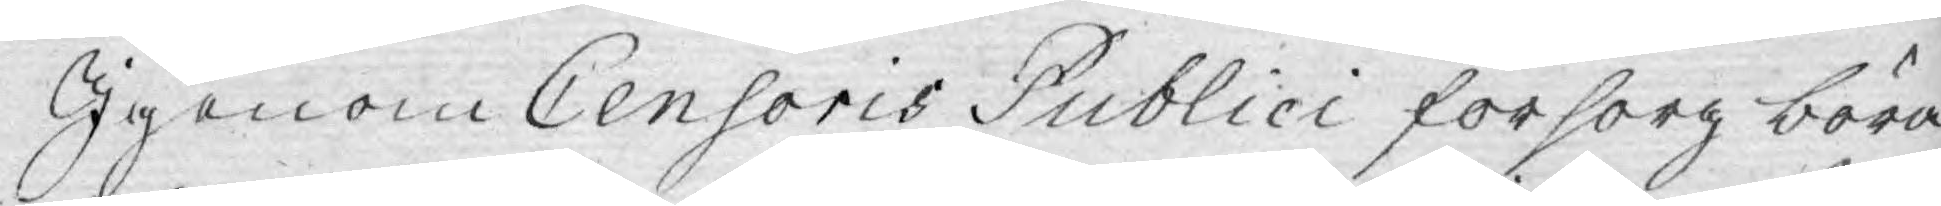Igenom Censoris Publici försorg böra
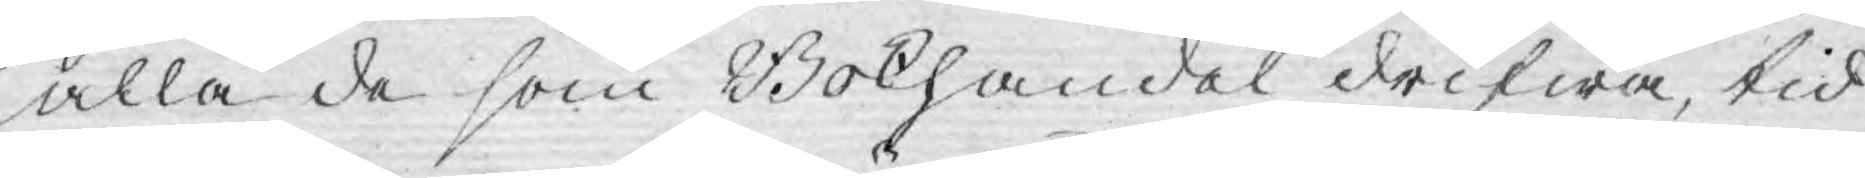alla de som Bokhandel drifwa, tid
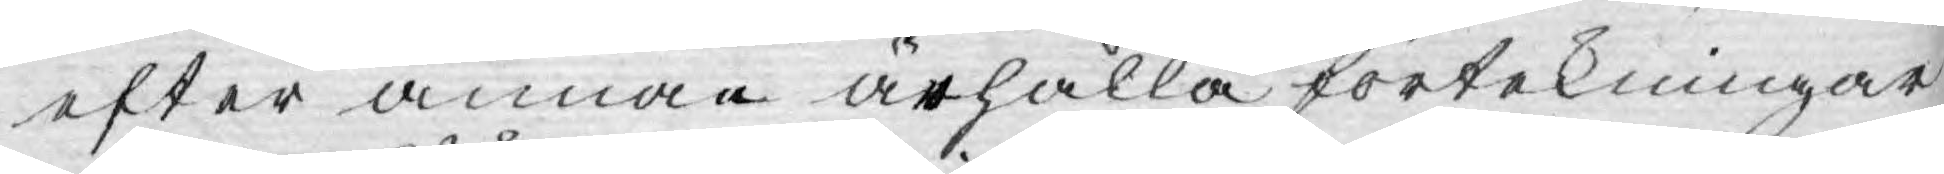efter annan ärhålla förtekningar
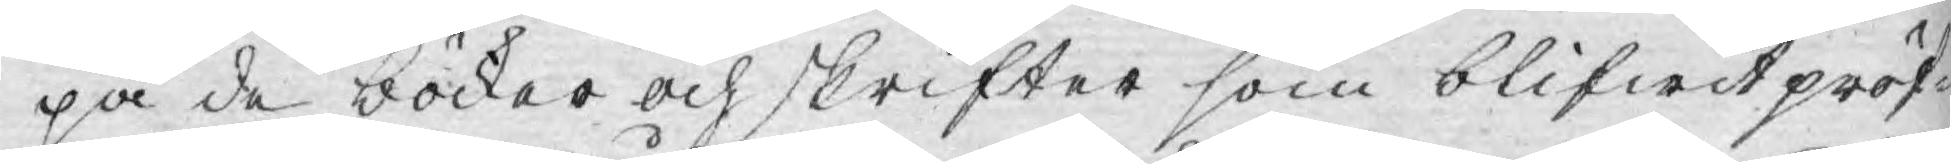på de böcker och skrifter som blifwit pröf¬
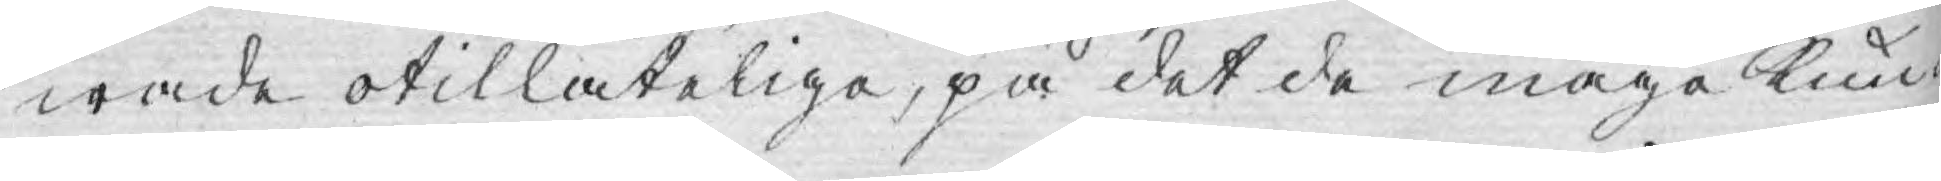wade otillåteliga, på det de måge kun¬
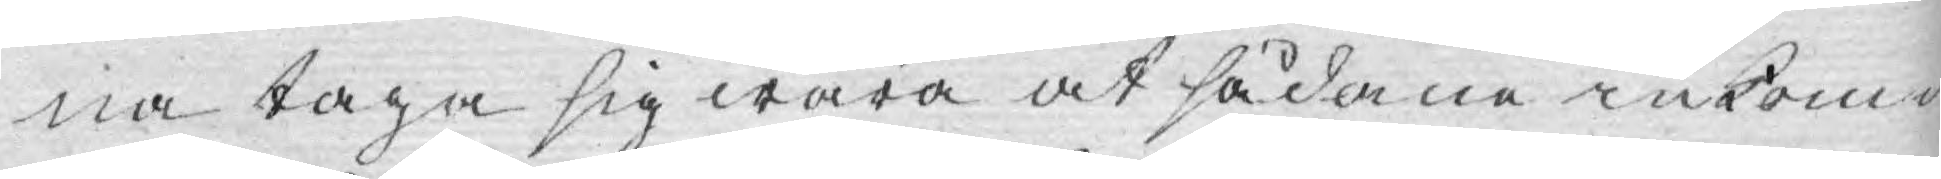na taga sig wara at sådane inkom¬
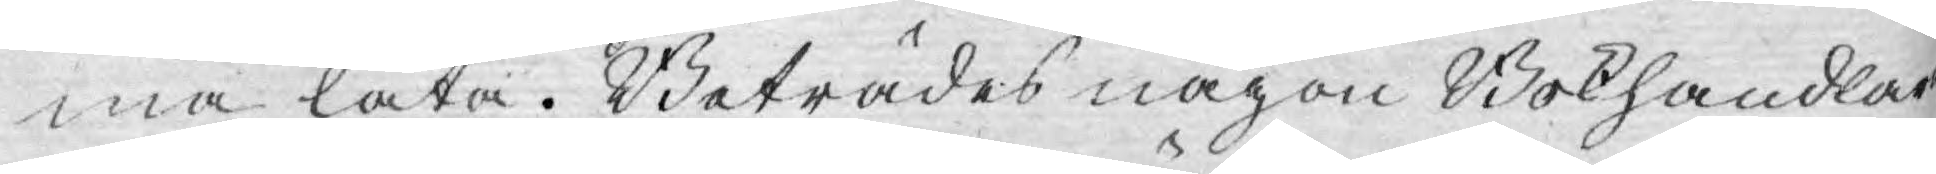ma låta. Beträdes någon Bokhandlare
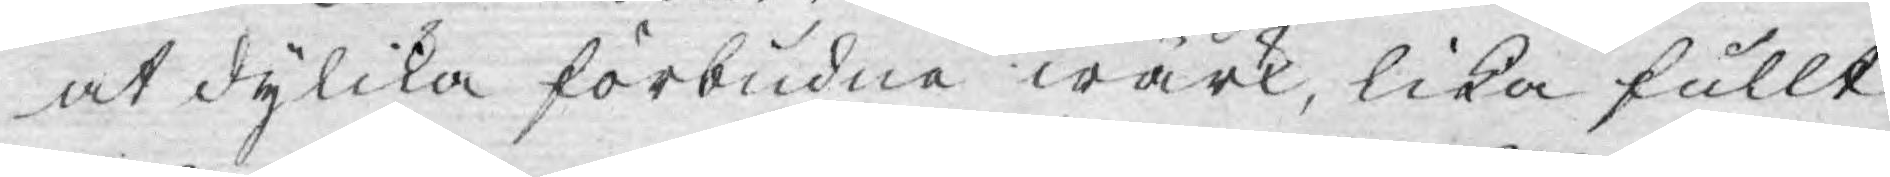at dylika förbudne wärk, lika fullt
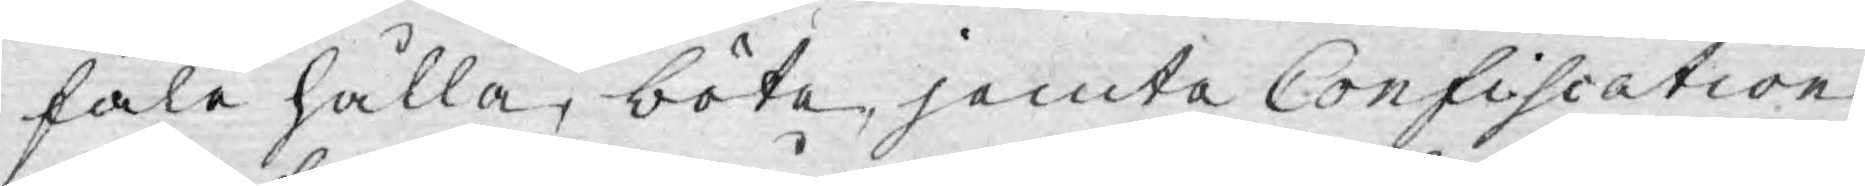fale hålla, böte, jemte Confiscation
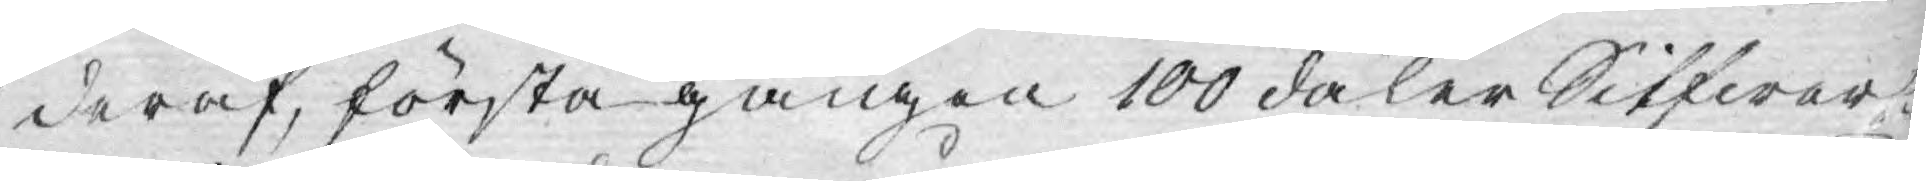deraf, första gången 100 daler Silfwer¬
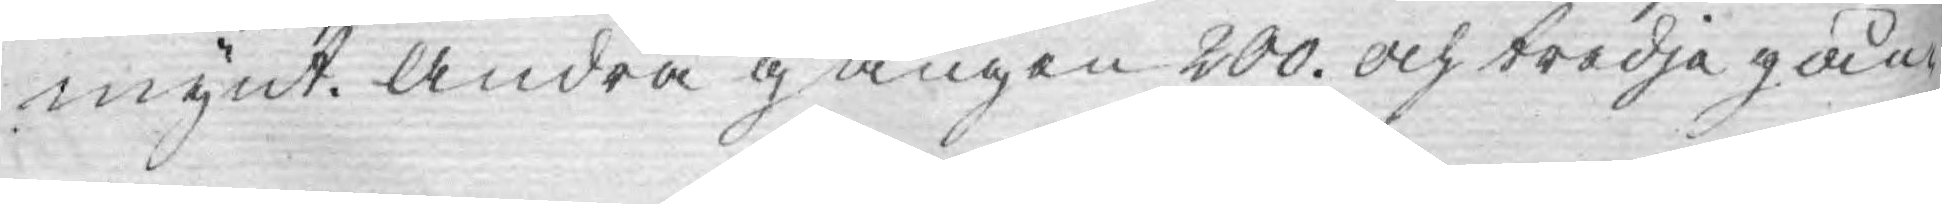mynt. Andra gången 200. och tredje gån¬
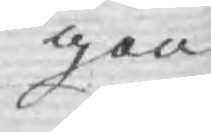gen
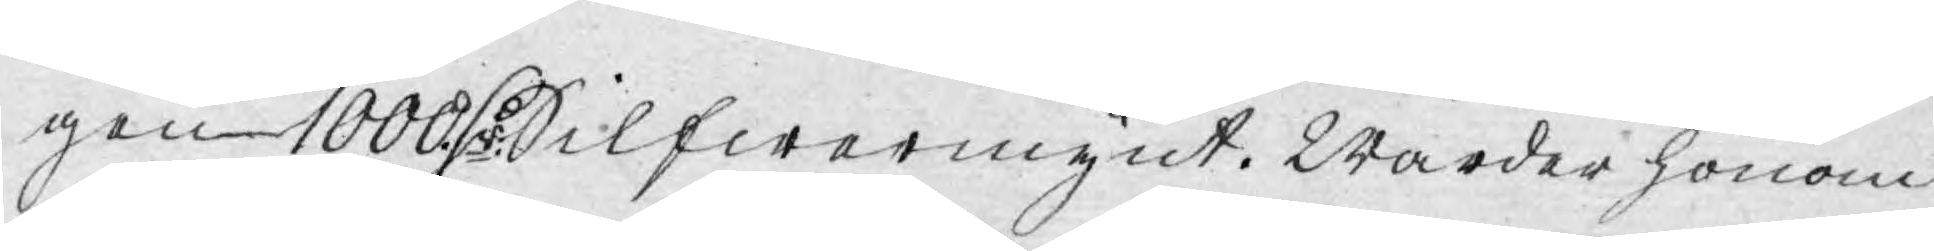gen 1000. D:r Silfwermynt. Warder honom
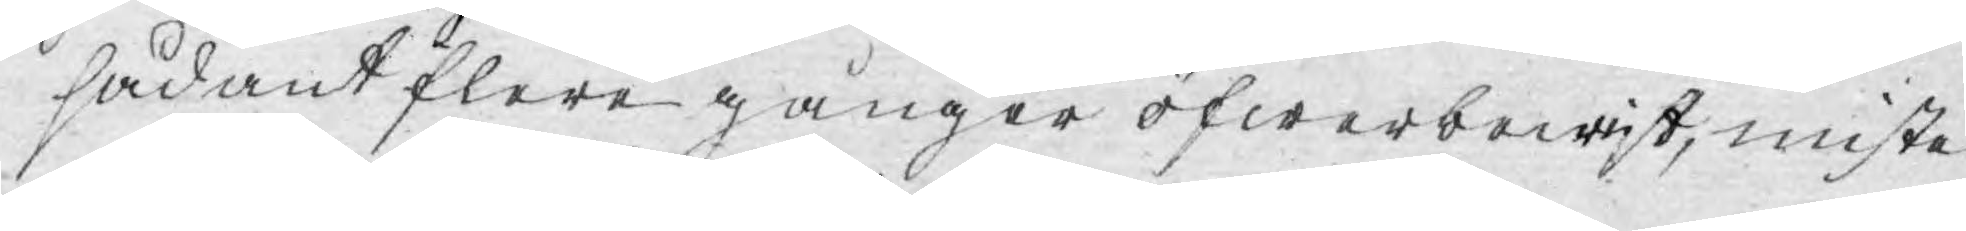sådant flere gånger öfwerbewijst, miste
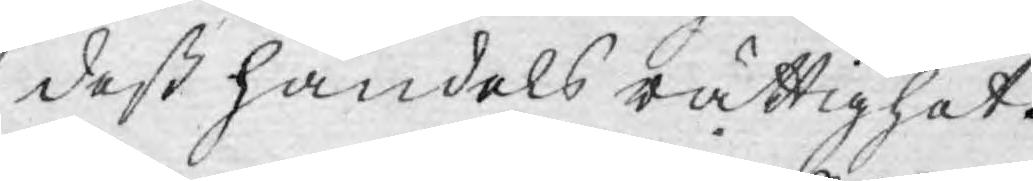deß handels rättighet.
